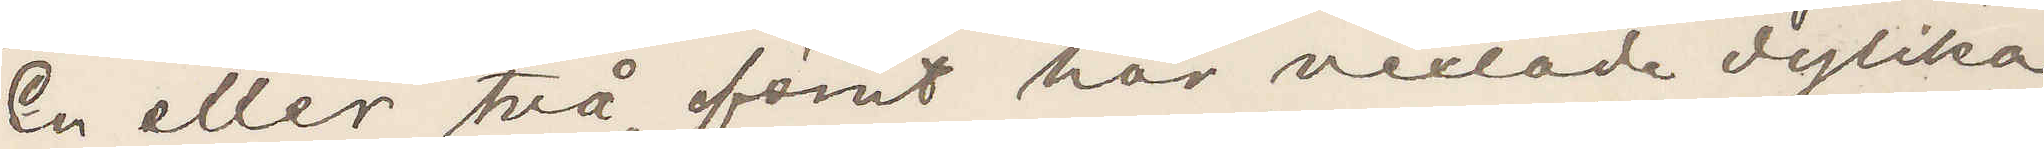En eller två förut här vexlade dylika
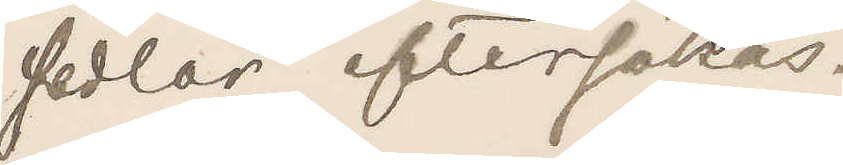sedlar eftersökas.
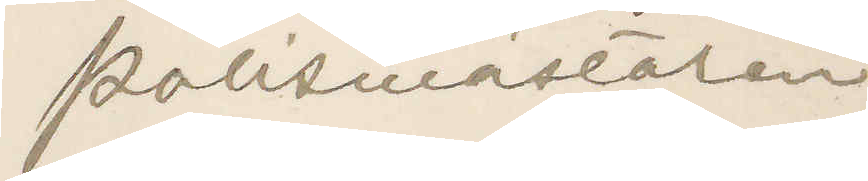Polismästaren.
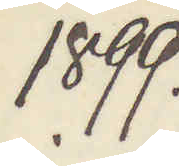1899.
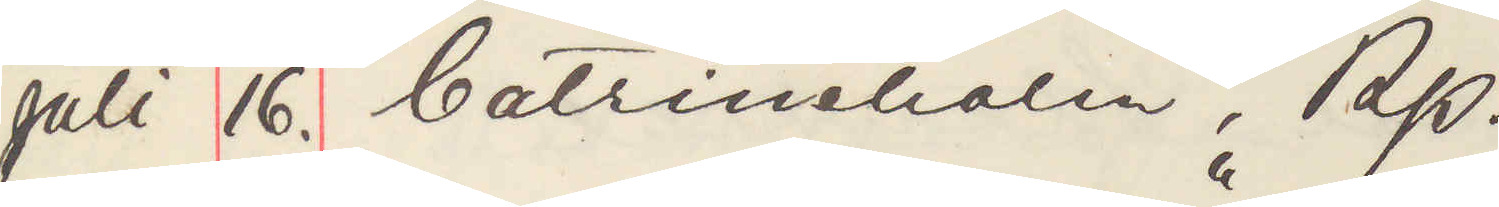Juli 16. Catrineholm, Rp.
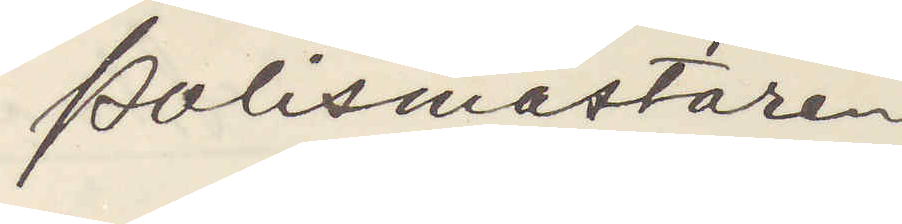Polismästaren
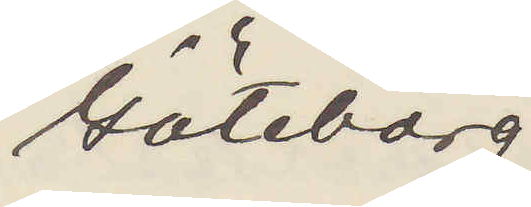Göteborg.
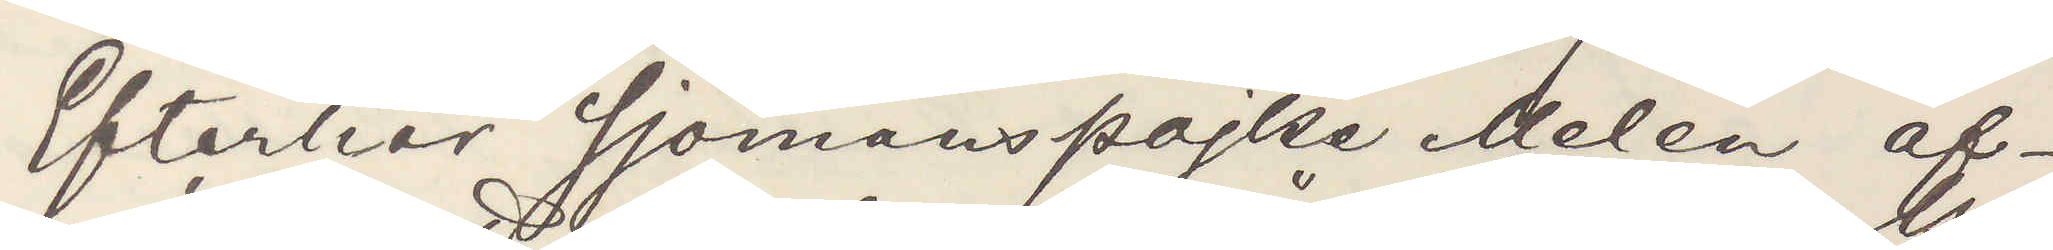Efterhör Sjömanspojke Melén af¬
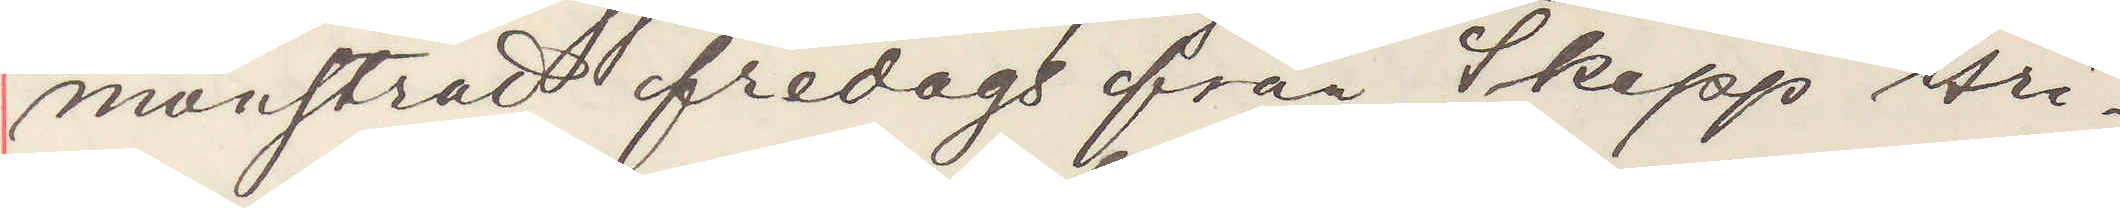mönstrad fredags från Skepp Gri¬
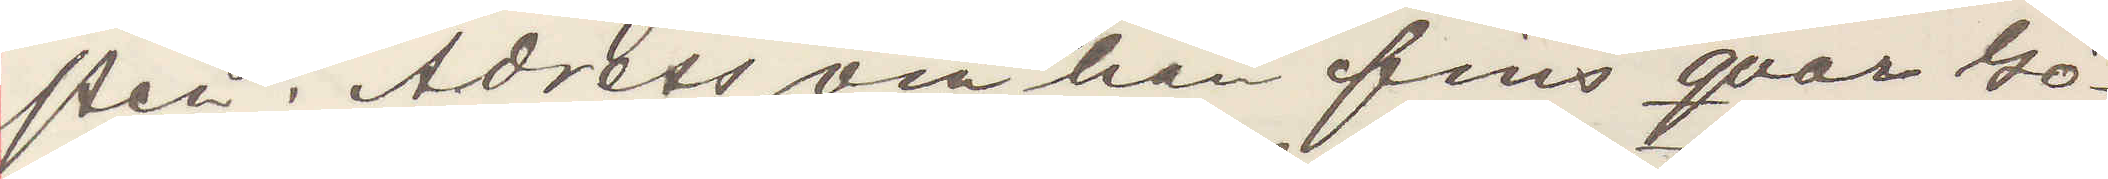pen. Adress om han fins qvar Gö¬
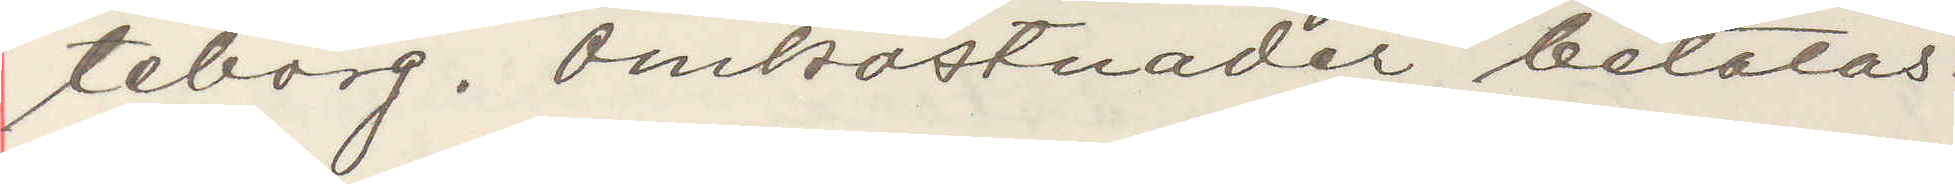teborg. Omkostnader betalas.
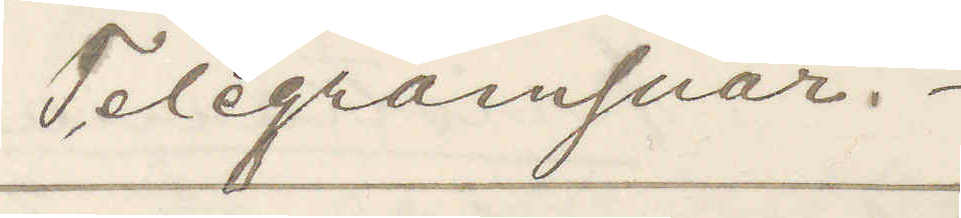Telegrafsvar.
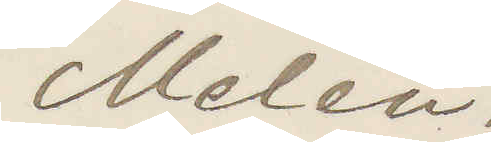Melén.
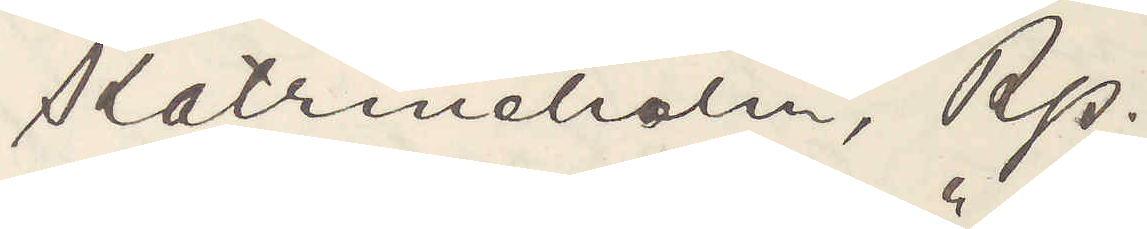Katrineholm, Rp.
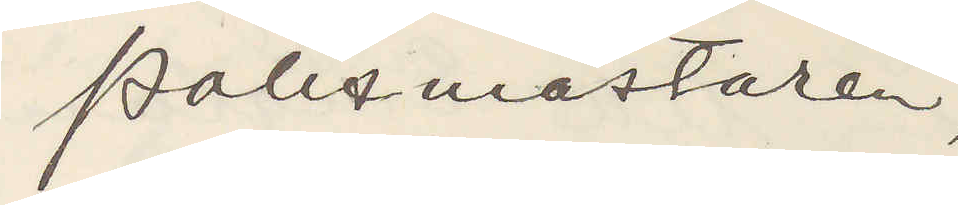Polismästaren,
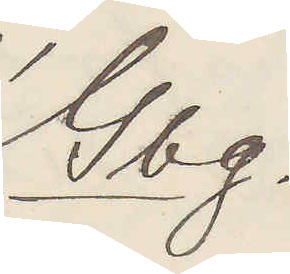Gbg.
